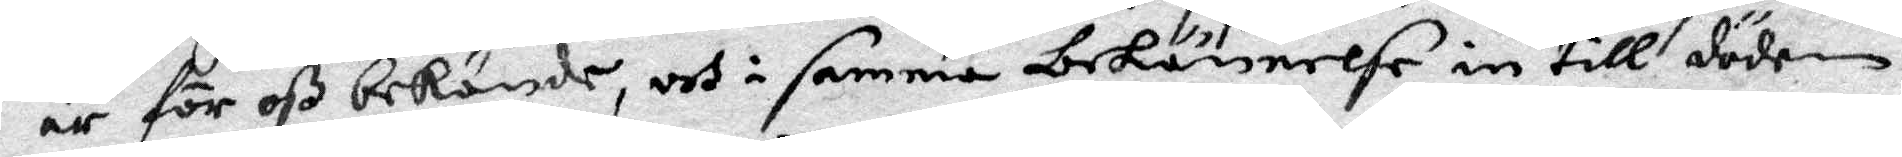är för oß bekände, och i samma bekännelse in till döden
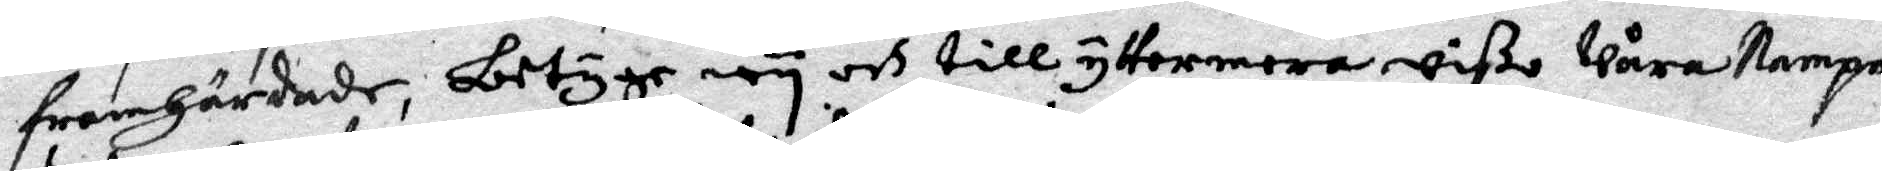framhrdar, betygar wy och till yttermera wißo Wåra Nampn
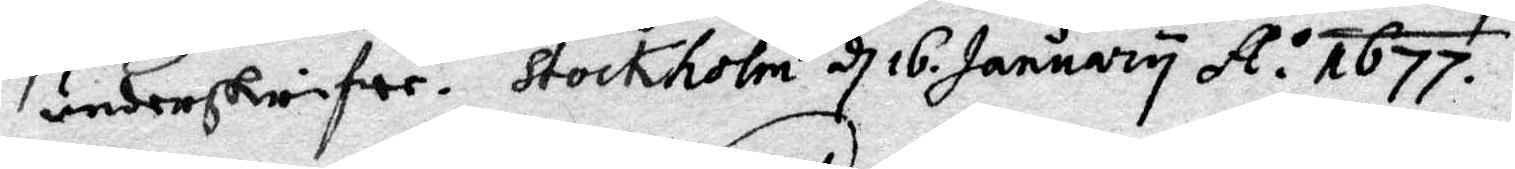underskrifwer. Stockholm d 16 January A:o 1677.
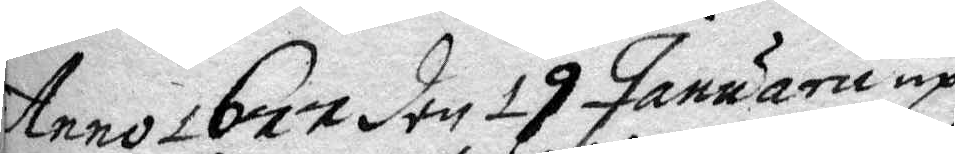Anno 1677 den 19 Januarii up¬
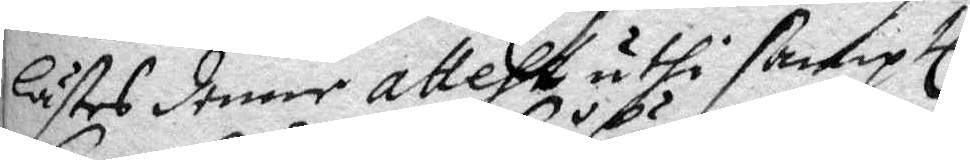lästes denne attest uthi samptl.
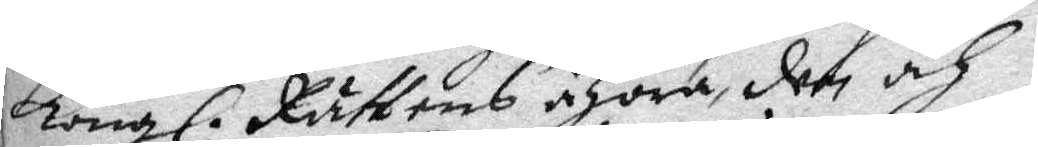Kongl. Rättens åhöro, den och
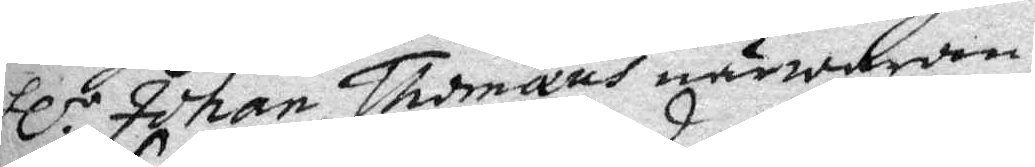Hl.r Johan Thomaus närwaran¬
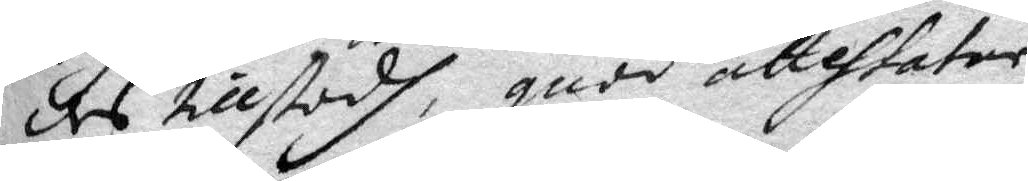des tillstodh, quad attehtatar
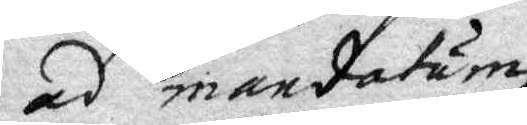ad mandatum
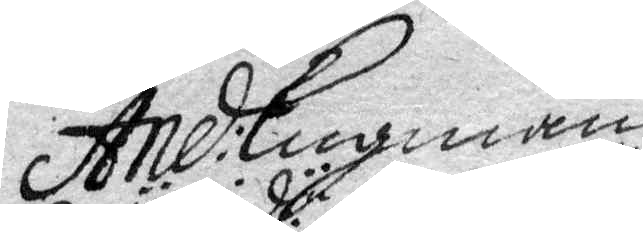And: Lugman.
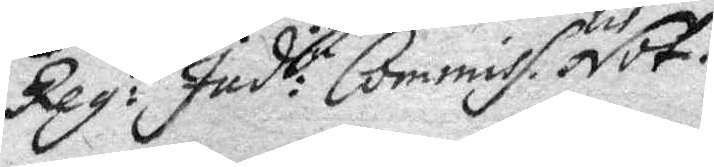Reg:ii Jud:ii Commiss.lit Not.
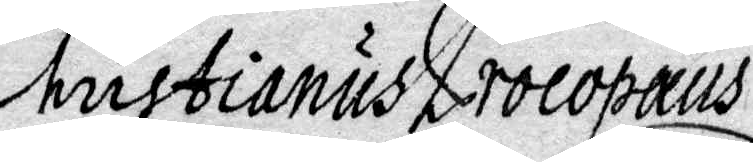Christianus Procopaus
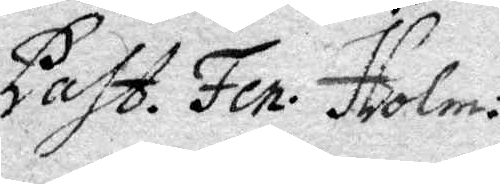Past. Fen. Iholm:
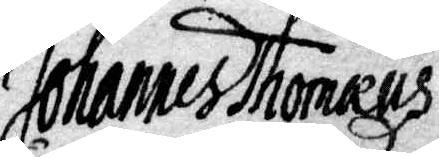Johannes Thomaus
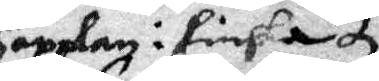Capplan i finska
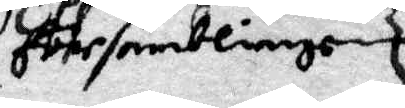församblingen
